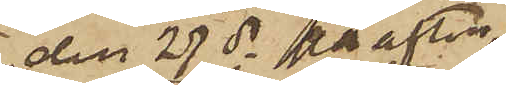den 27 ds på afton
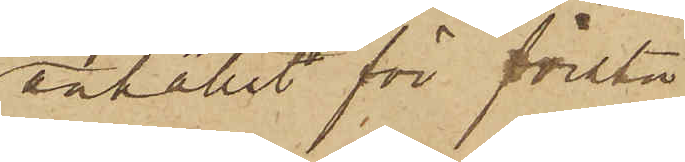anhållit för första
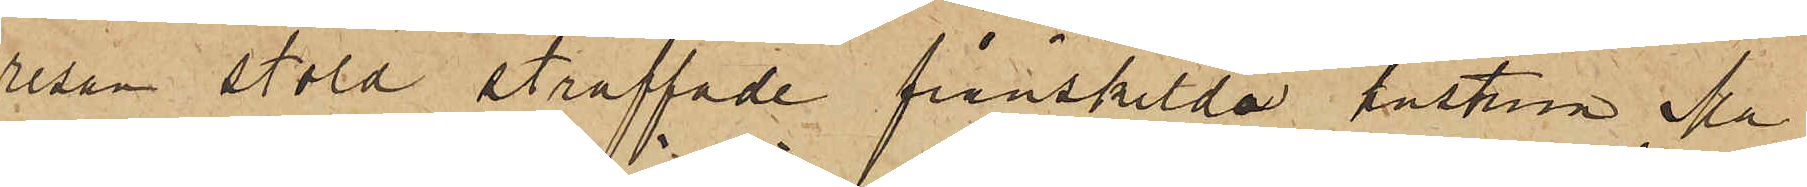resan stöld straffade frånskilda hustrun Ma¬
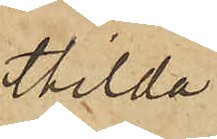thilda
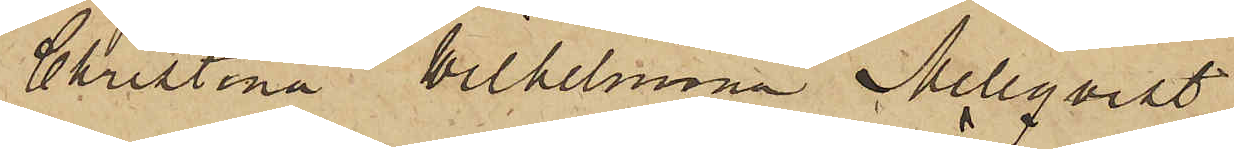Christina Wilhelmina Mellqvist,
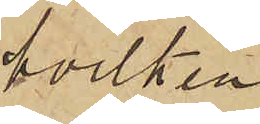hvilken
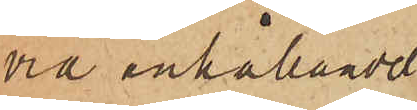vid anhållandet
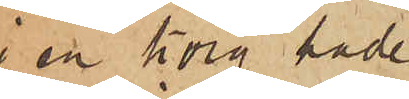i en korg hade
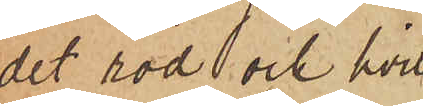det röd och hvit¬
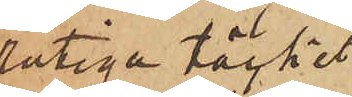rutiga täcket
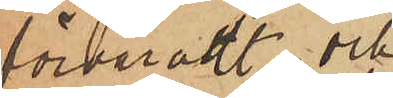förvaradt; och
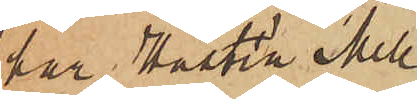har Hustru Mell¬
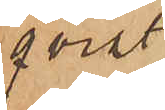qvist
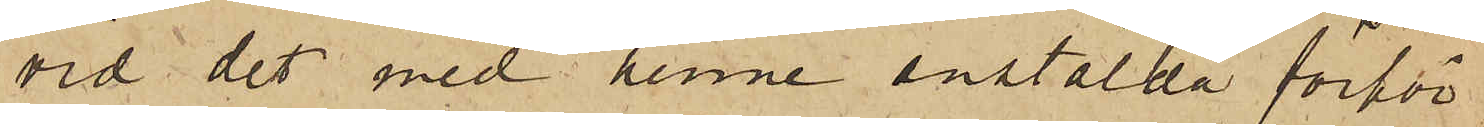vid det med henne anstälda förhör
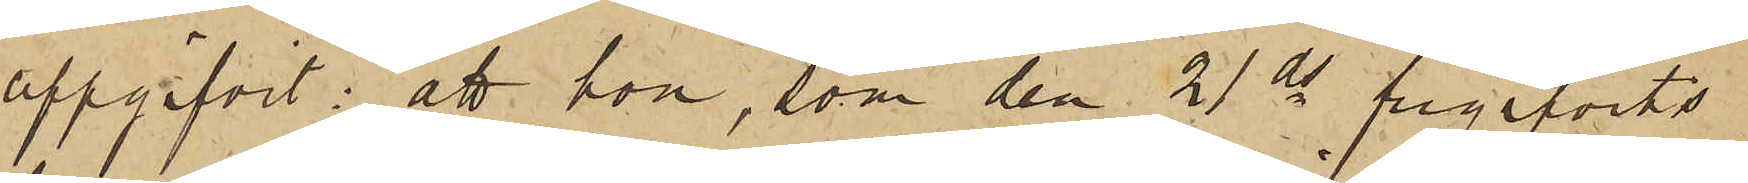uppgifvit: att hon, som den 21 ds frigifvits
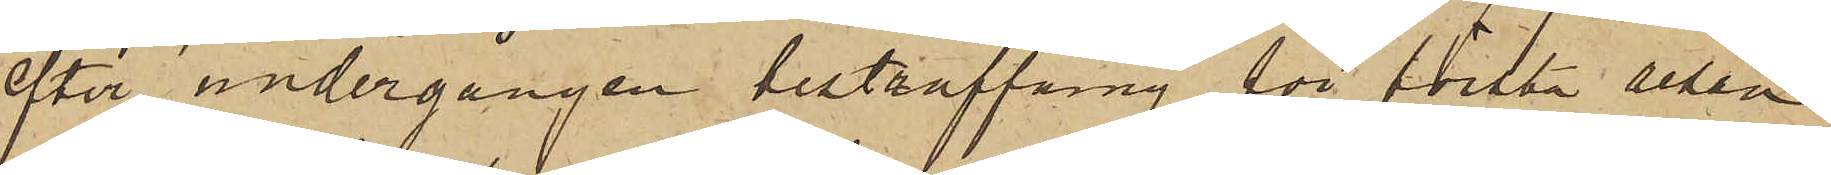efter undergången bestraffning för första resan
